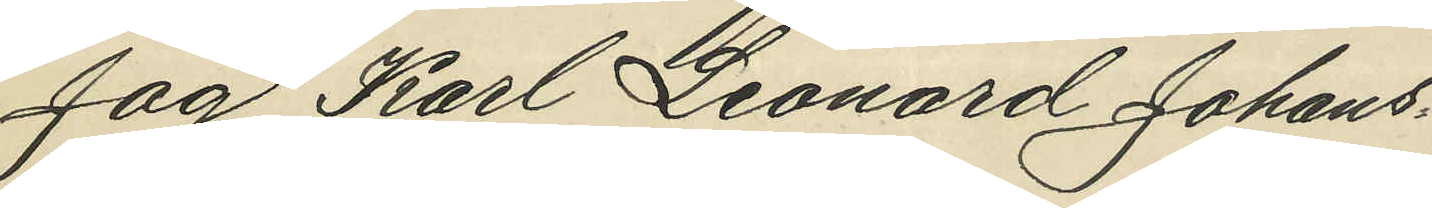Jag Karl Leonard Johans¬
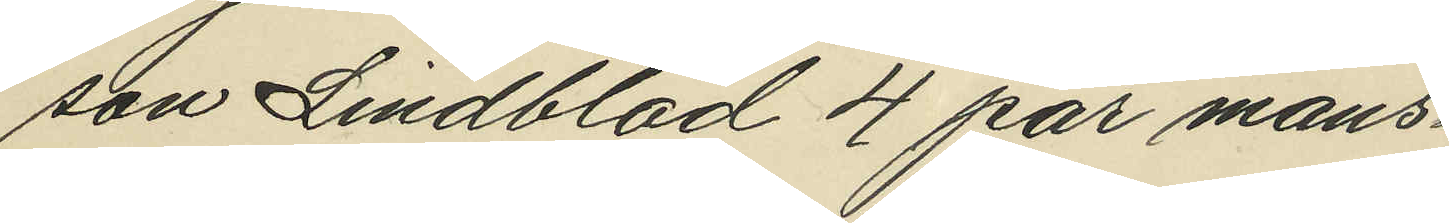son Lindblad 4 par mans¬
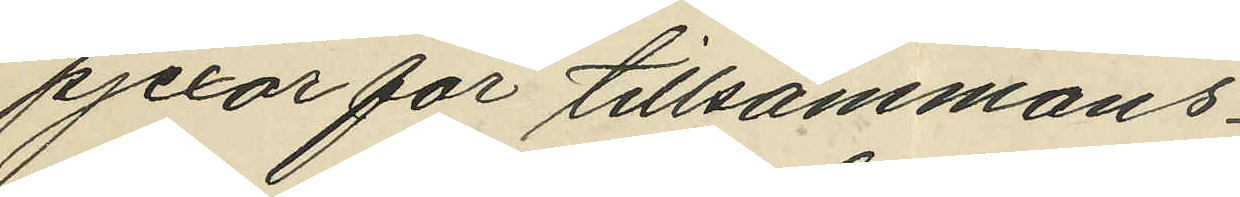pjexor för tillsammans
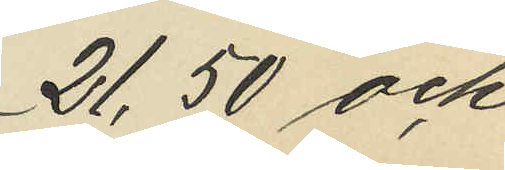21,50 och
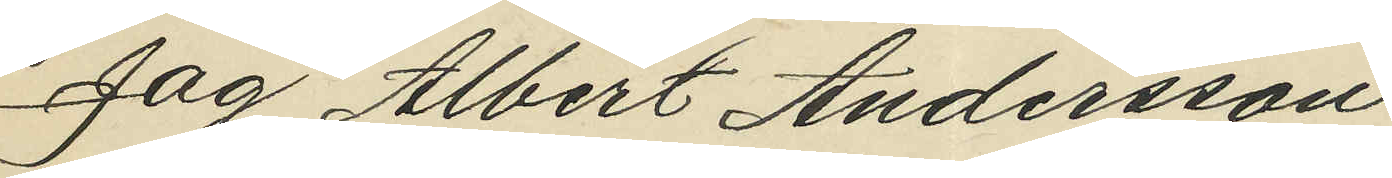Jag Albert Andersson
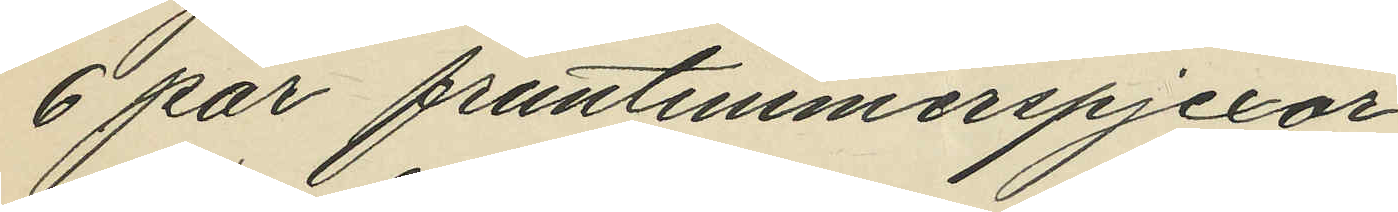6 par fruntimmerspjäxor
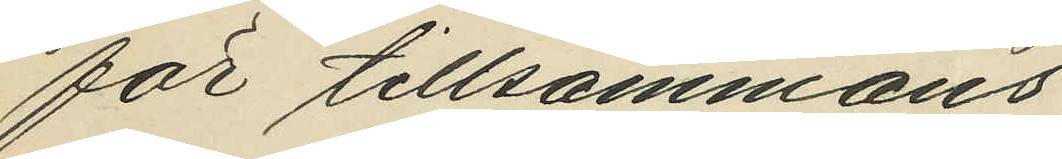för tillsammans
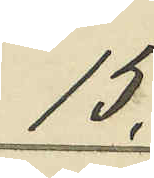15,
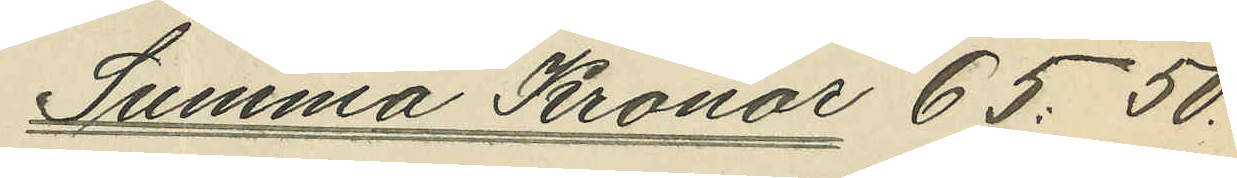Summa Kronor 65.50
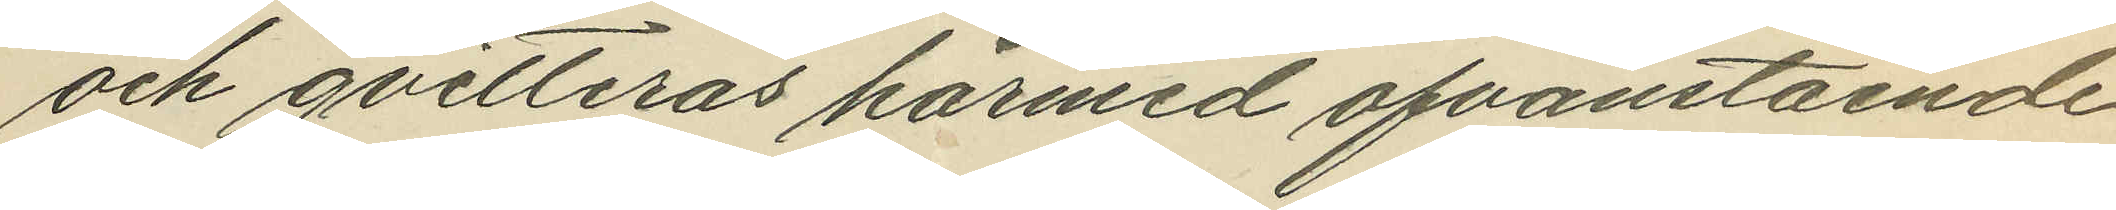och qvitteras härmed ofvanstående
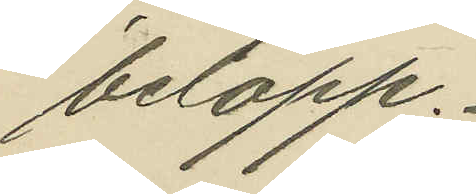belopp.
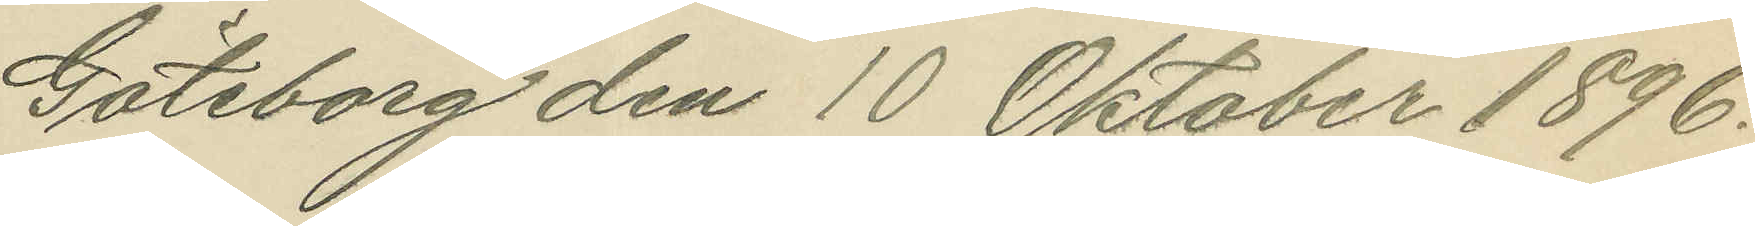Göteborg den 10 Oktober 1896.
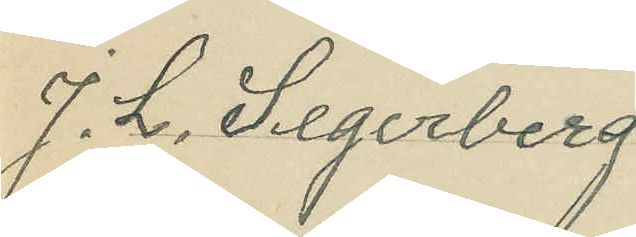J. L. Segerberg
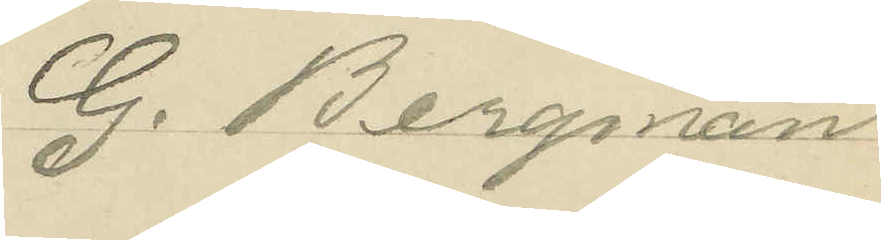G. Bergman
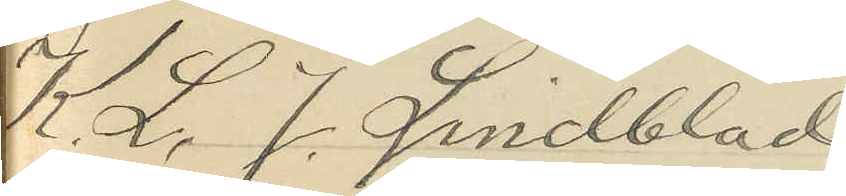K. L. J. Lindblad
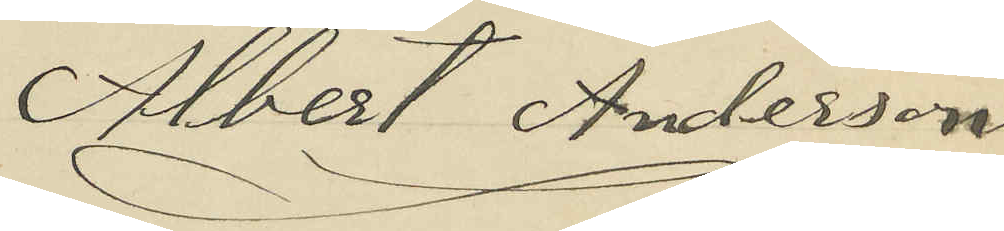Albert Andersson
